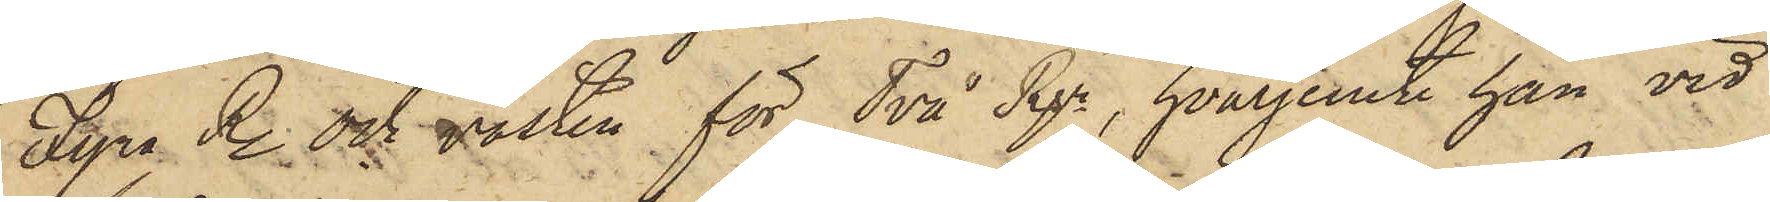Fyra R. och vasten för Två Rgr, hvarjemte han vid
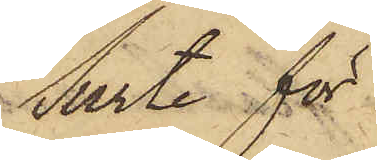Surte för
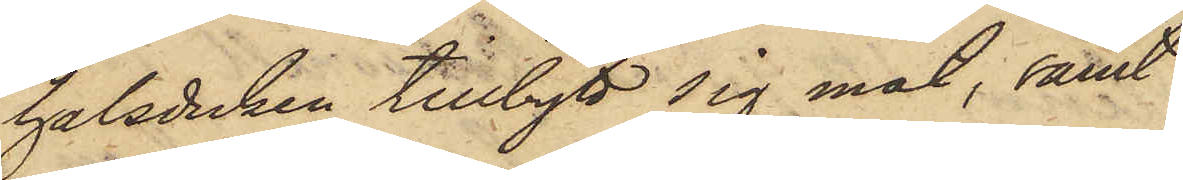halsduken tillbytt sig mat, samt
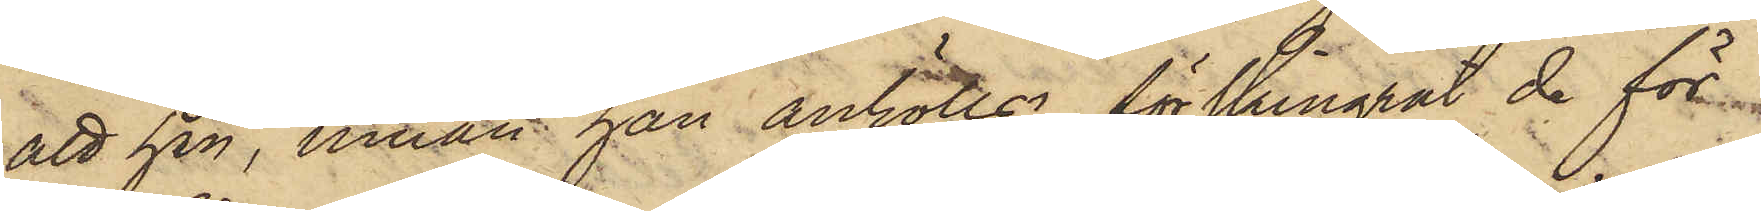att han, innan han anhölls förskingrat de för
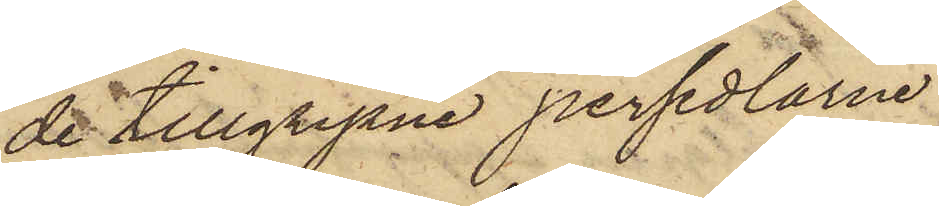de tillgripne persedlarne
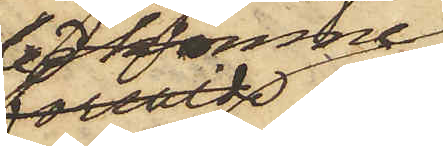bekomne
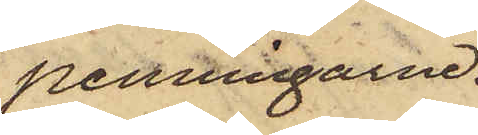penningarne.
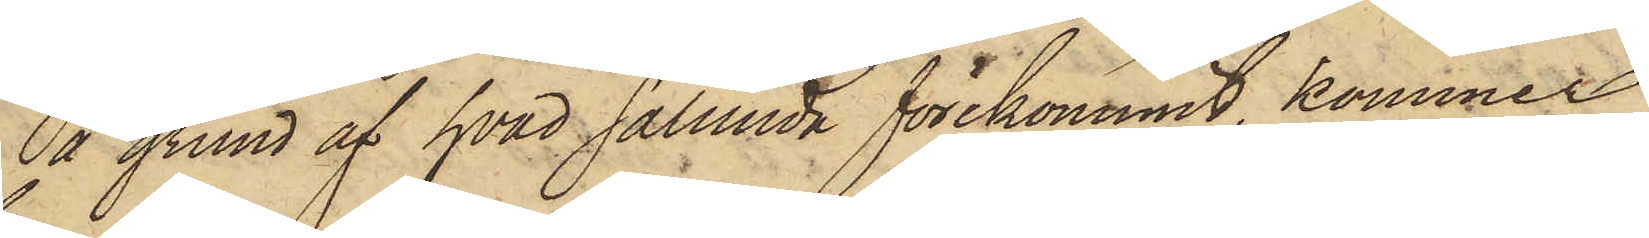På grund af hvad sålunda förekommit, kommer
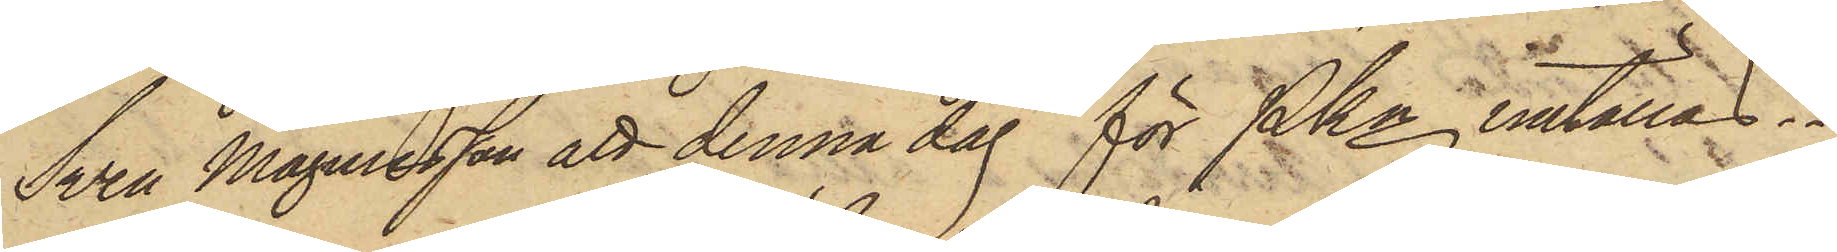Sven Magnusson att denna dag för PKn inställas.
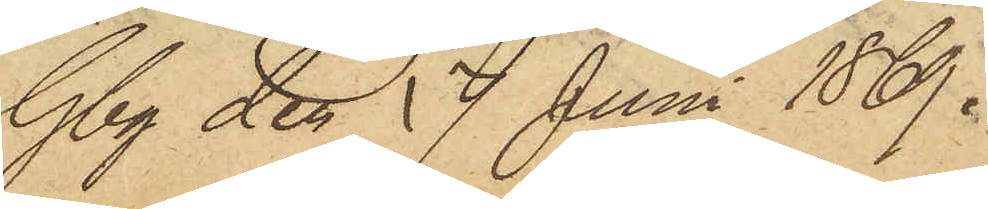Gbg den 17 Juni 1869.
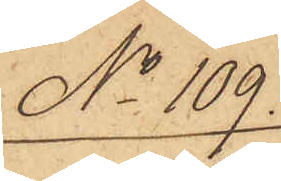No 109.
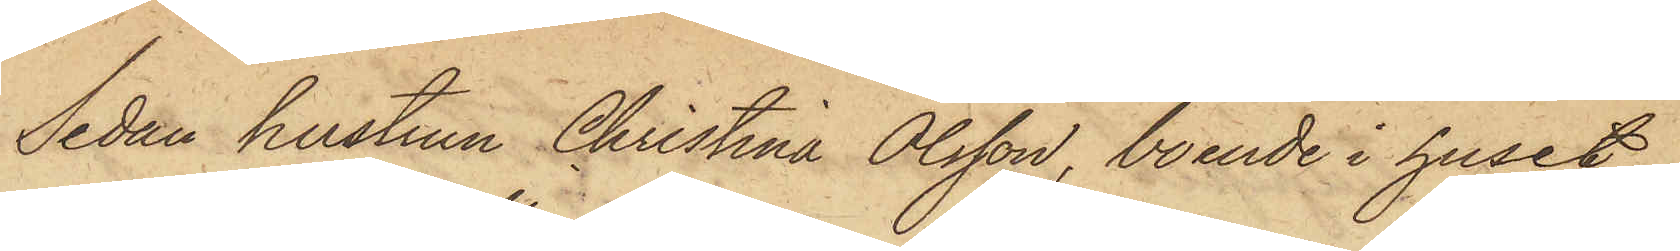Sedan hustrun Christina Olsson, boende i huset
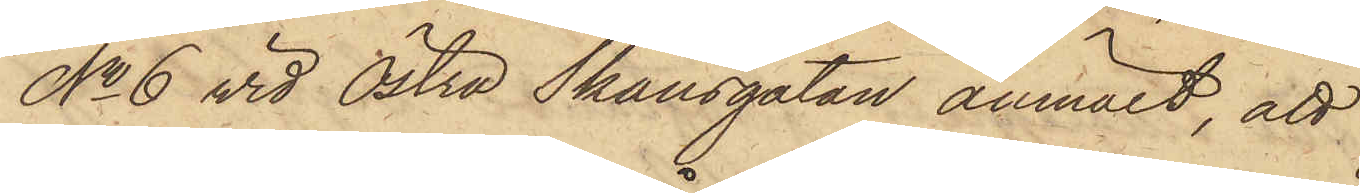No 6 vid Östra Skansgatan anmält, att
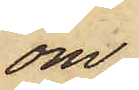om¬
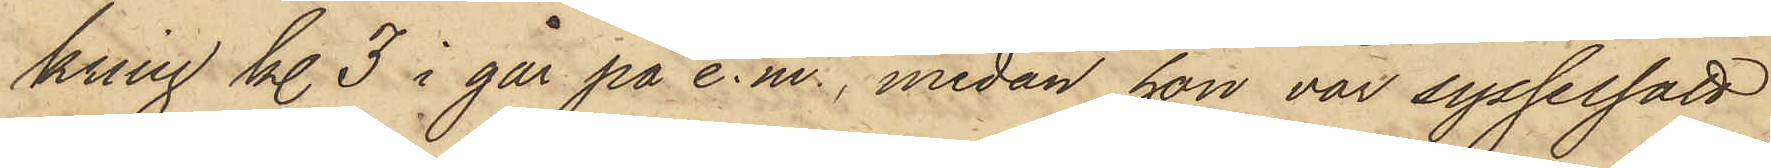kring kl. 3 i går på e.m., medan hon var sysselsatt
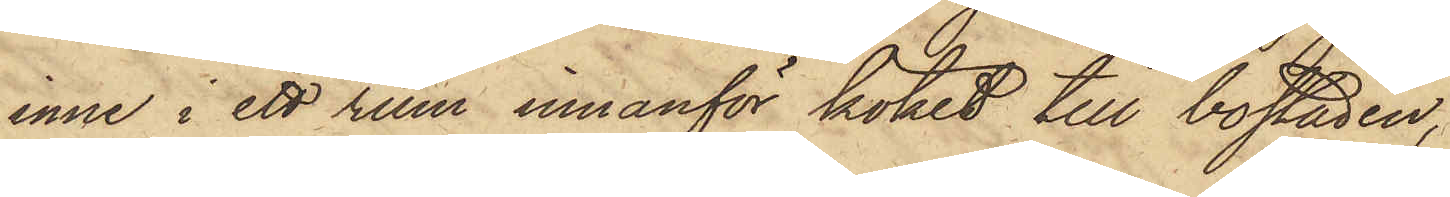inne i ett rum innanför köket till bostaden,
